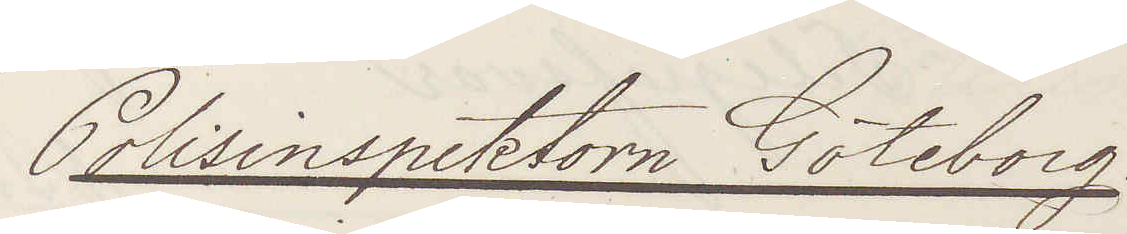Polisinspektorn Göteborg.
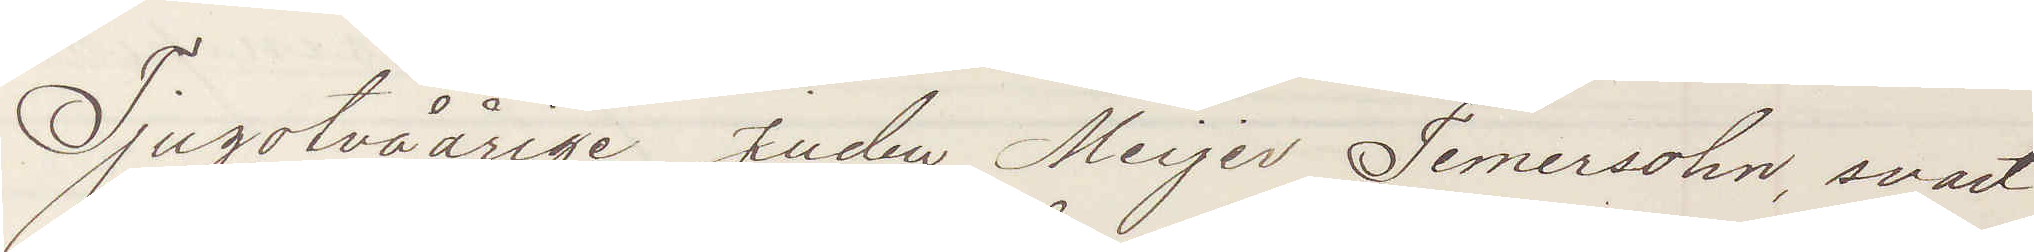Tjugotvåårige juden Meijer Temersohn, svart
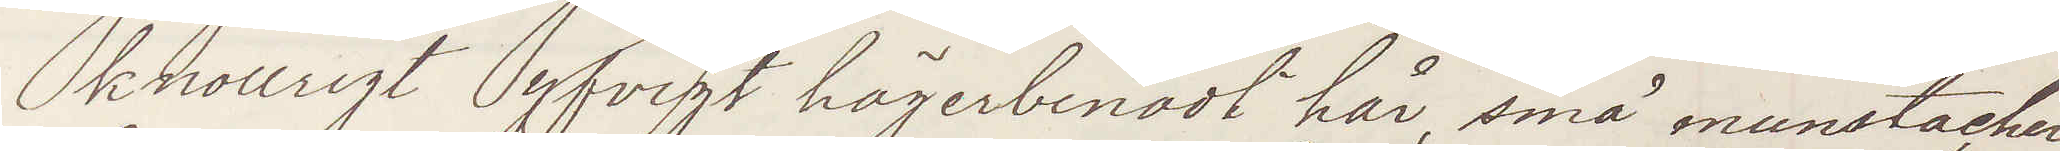knollrigt yfvigt högerbenadt hår, små munstacher
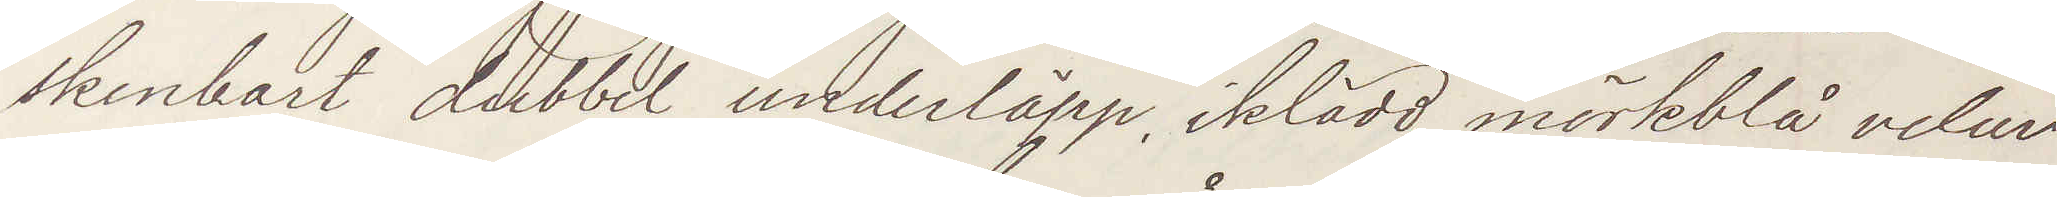skenbart dubbel underläpp, iklädd mörkblå velur¬
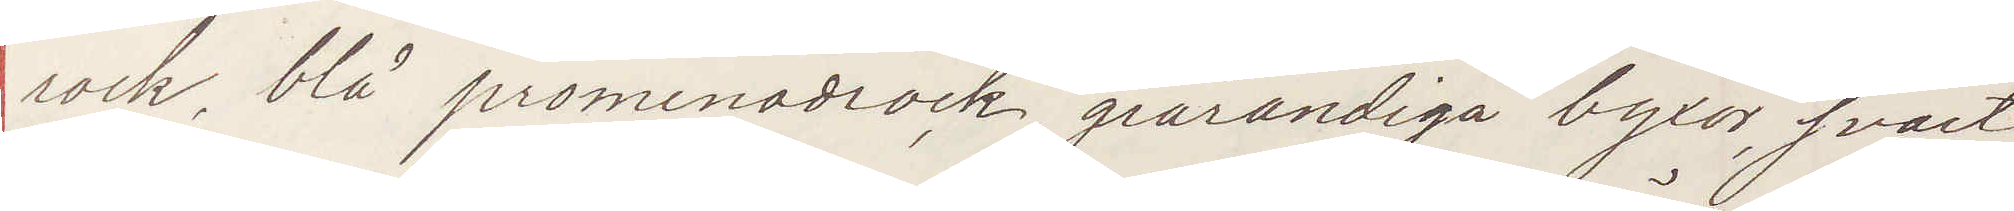rock, blå promenadrock, grårandiga byxor, svart
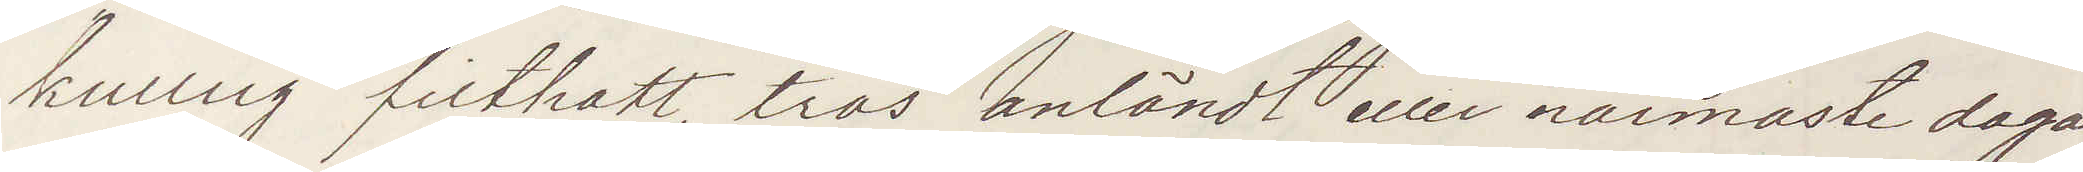kullrig filthatt, tros anländt eller närmaste dagar¬
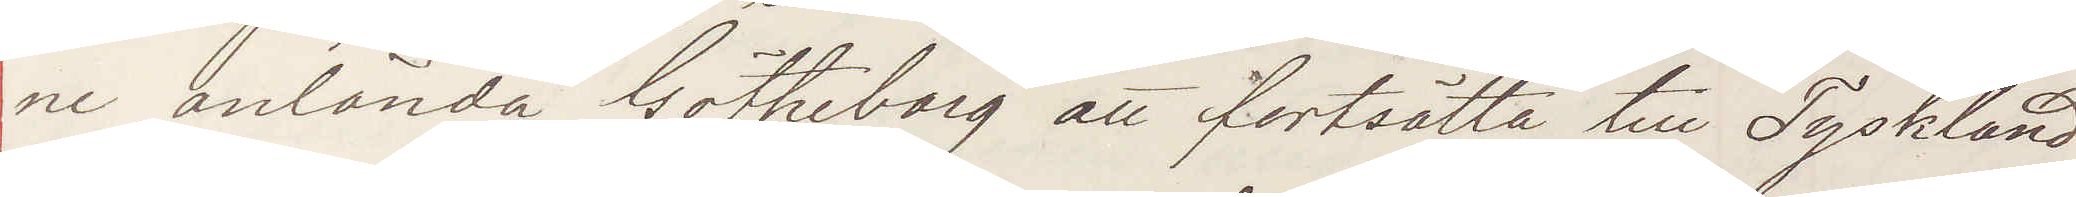ne anlända Götheborg att fortsätta till Tyskland
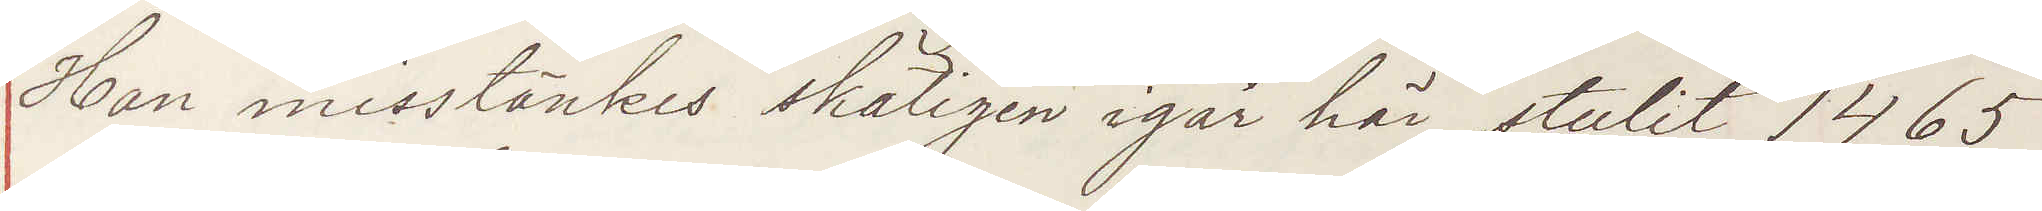Han misstänkes skäligen igår här stulit 1465
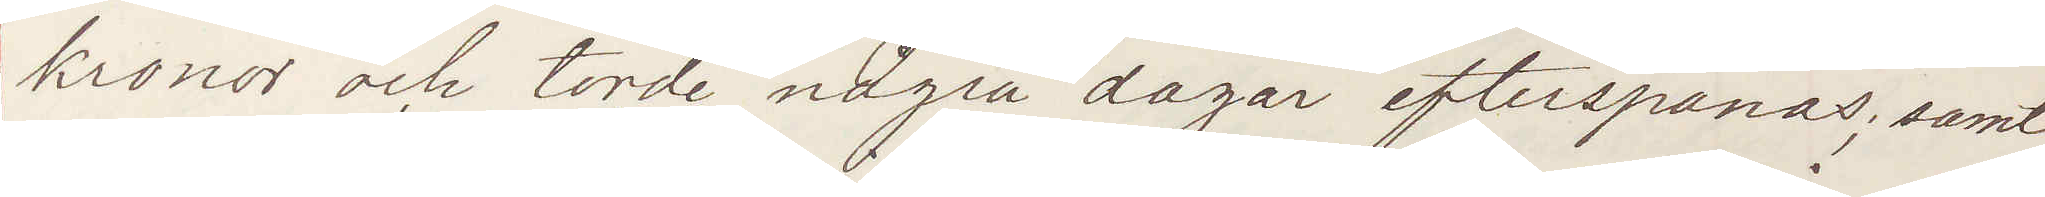kronor och torde några dagar efterspanas; samt
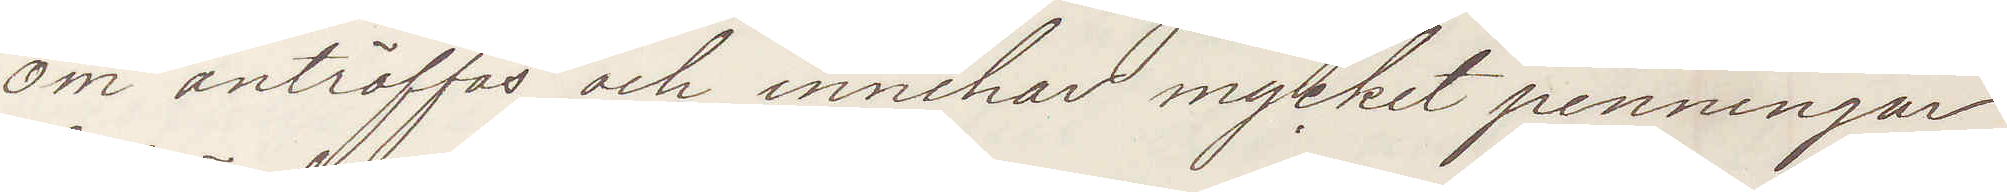om anträffas och innehar mycket penningar
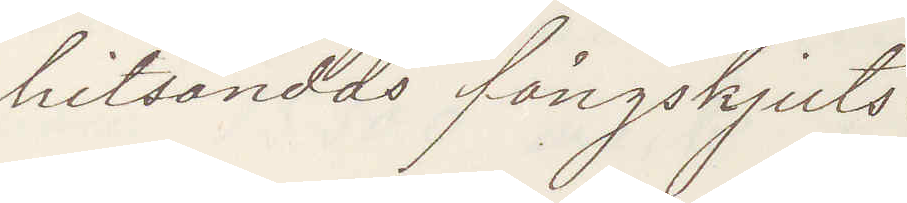hitsändas fångskjuts:
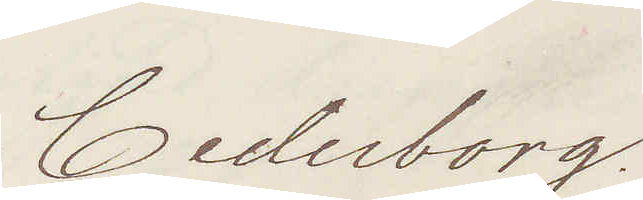Cederborg.
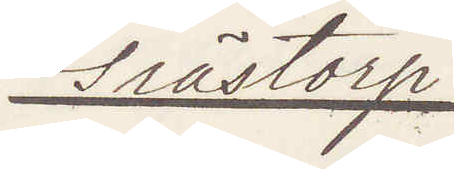Grästorp
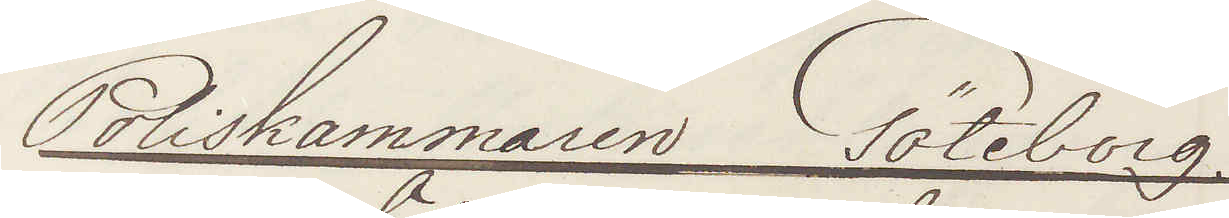Poliskammaren Göteborg.
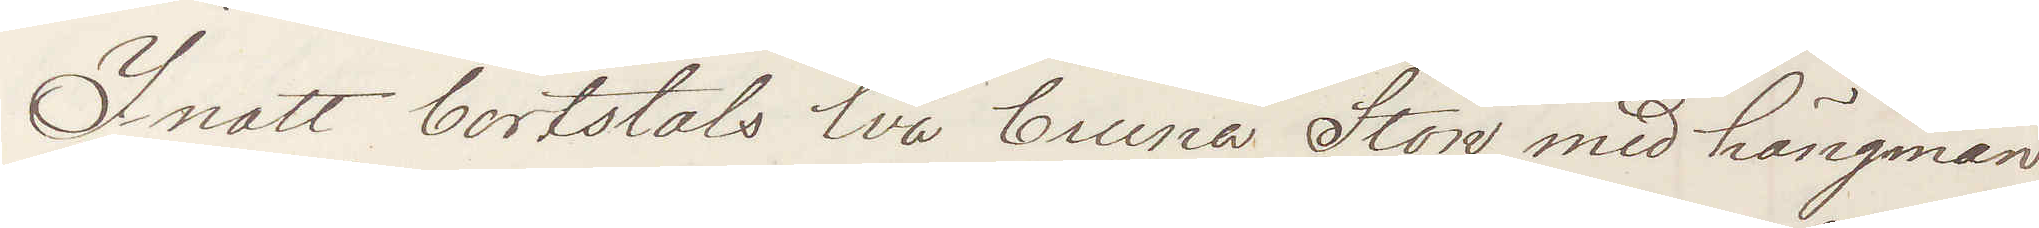Inatt bortstals två bruna Ston med hängman
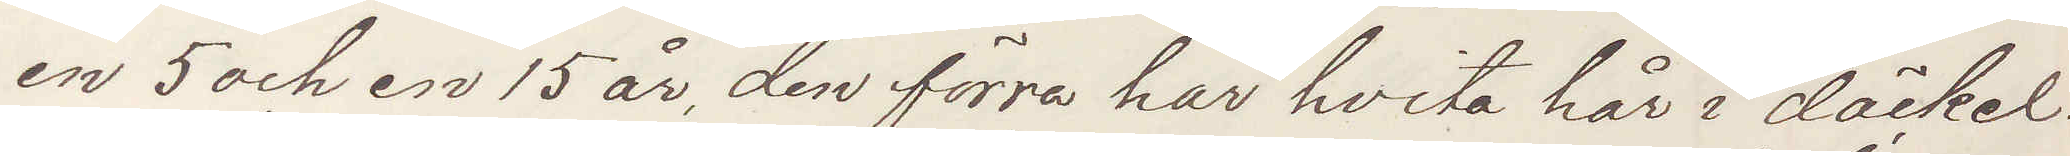en 5 och en 15 år, den förra har hvita hår i däckel¬
